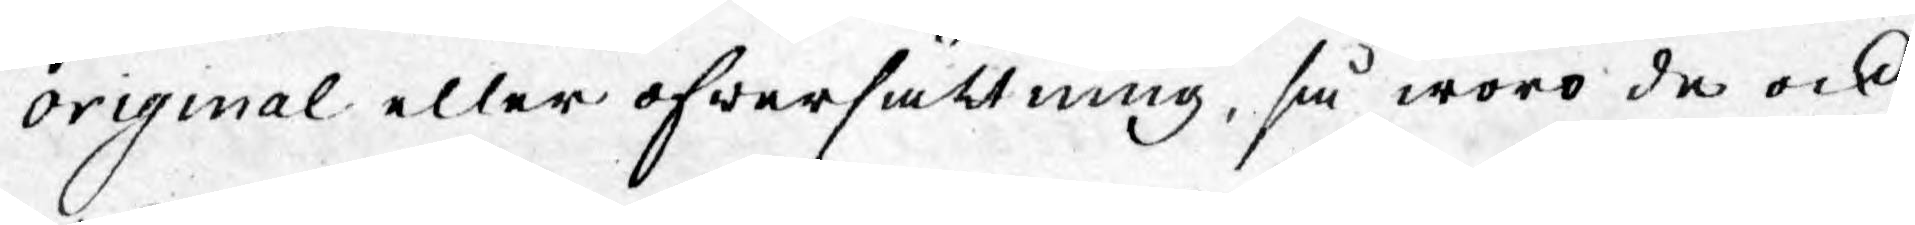original eller öfwersättning, så woro de ock
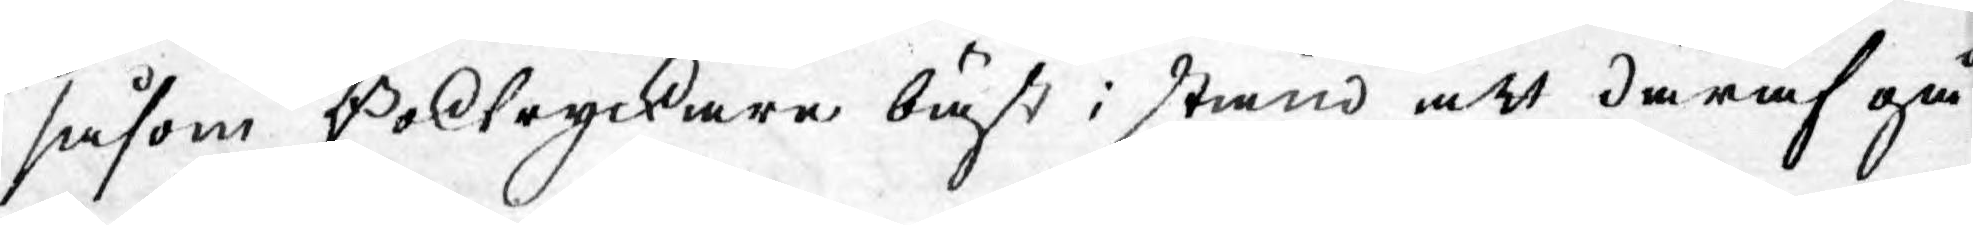såsom Boktryckare bäst i stånd att däraf gå
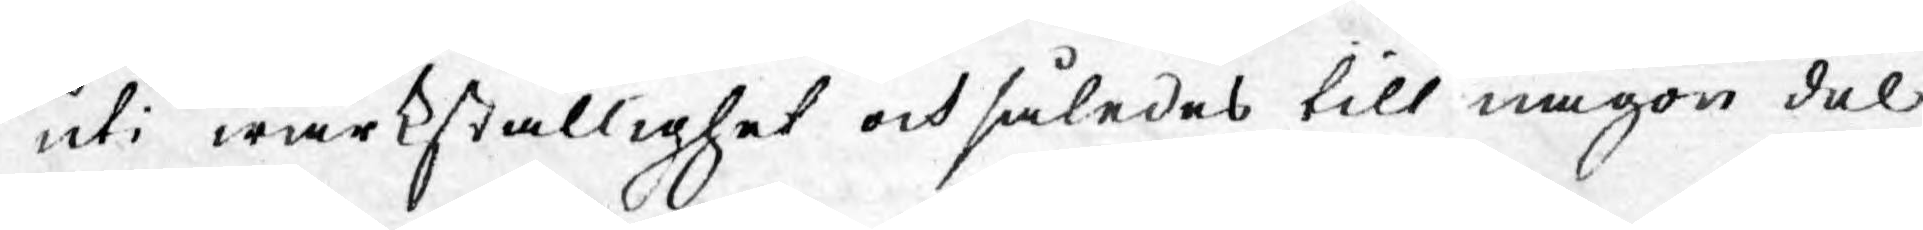uti wärkställighet och således till någon del
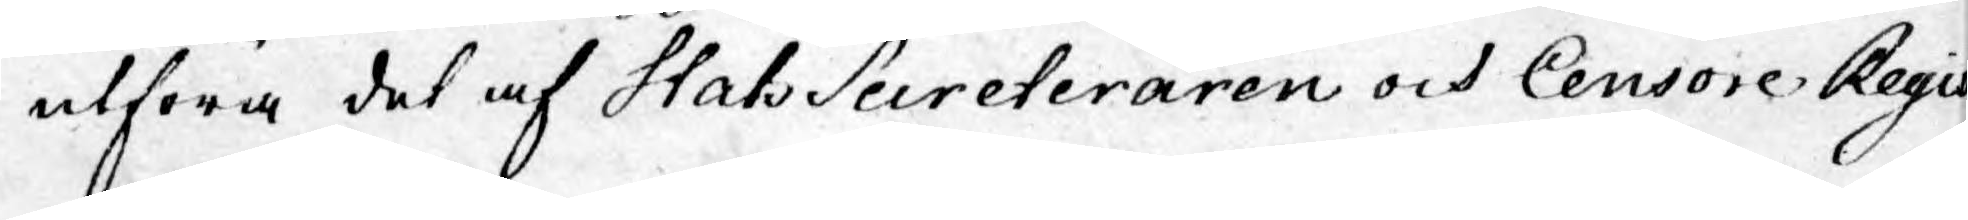utföra det af StatsSecreteraren och Censore Regis
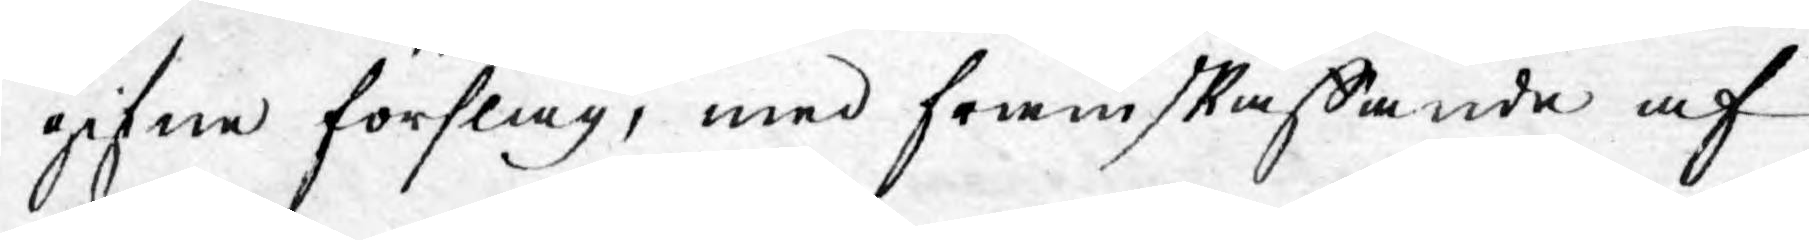gifne förslag, med framskaffande af
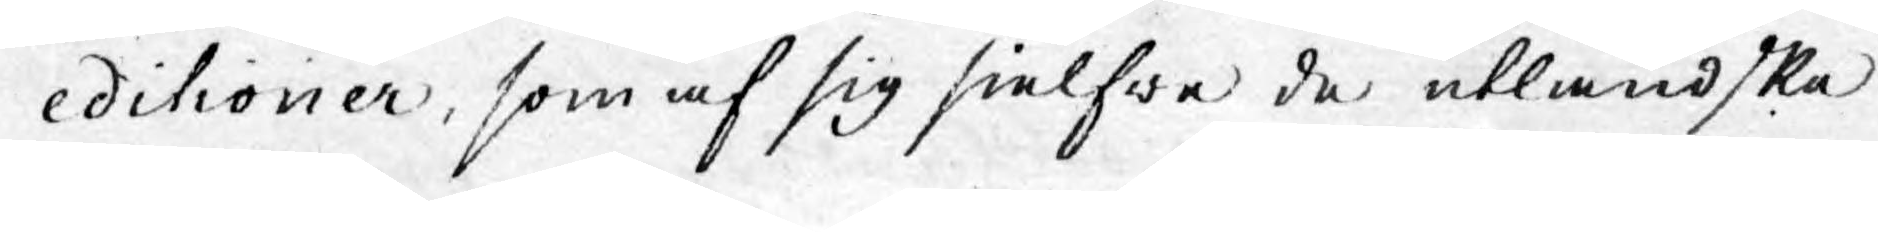editioner, som af sig sielfwe de utländske
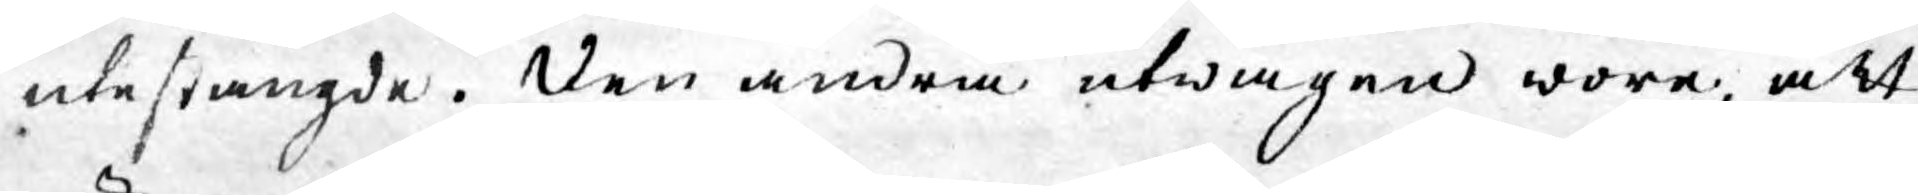utestängde. Den andra utwägen wore, att
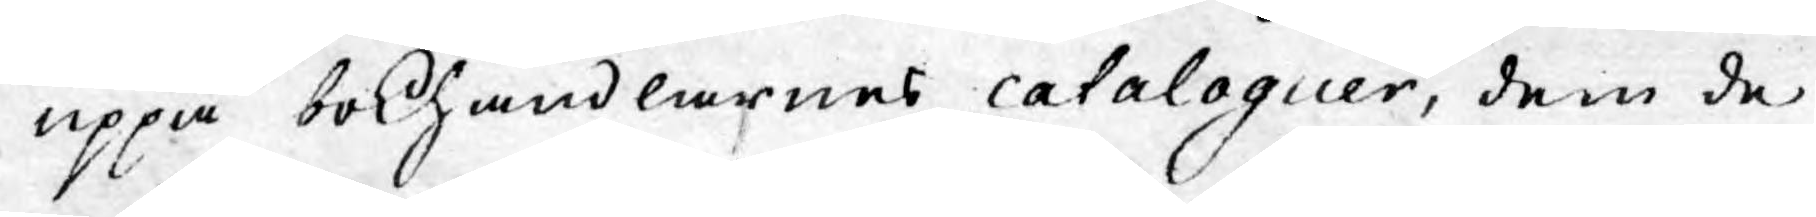uppå bokhandlarnes cataloguer, dem de
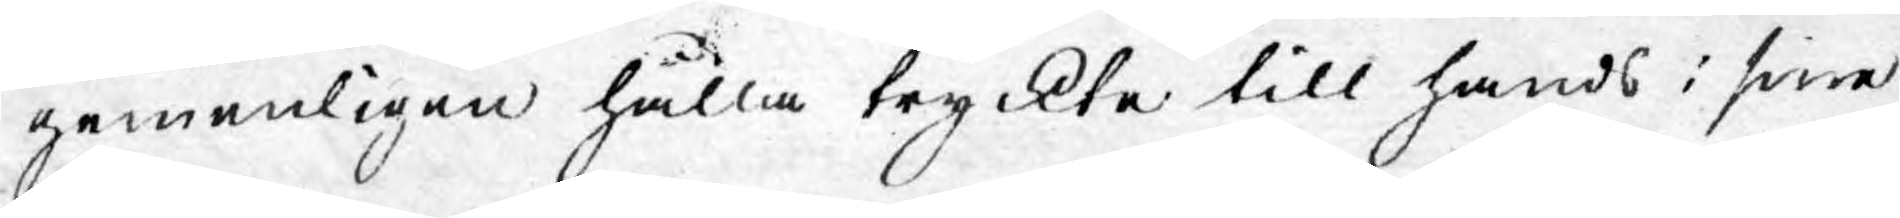gemenligen hålla tryckte till hands i sine
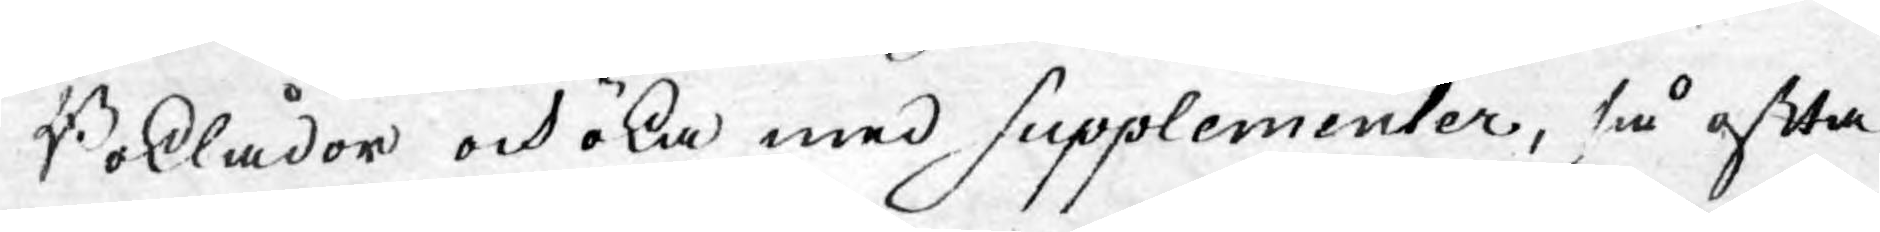Boklådor och öka med Supplementer, så ofta
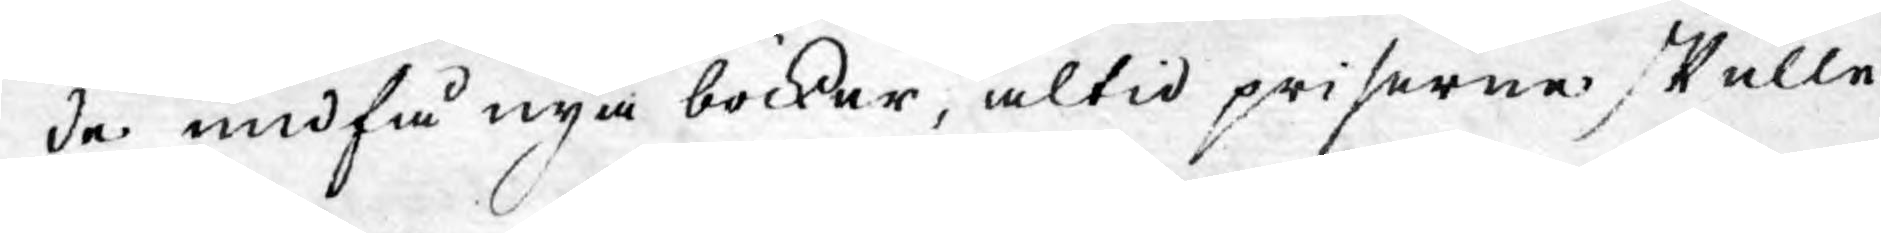de undfå nya böcker, altid priserne skulle
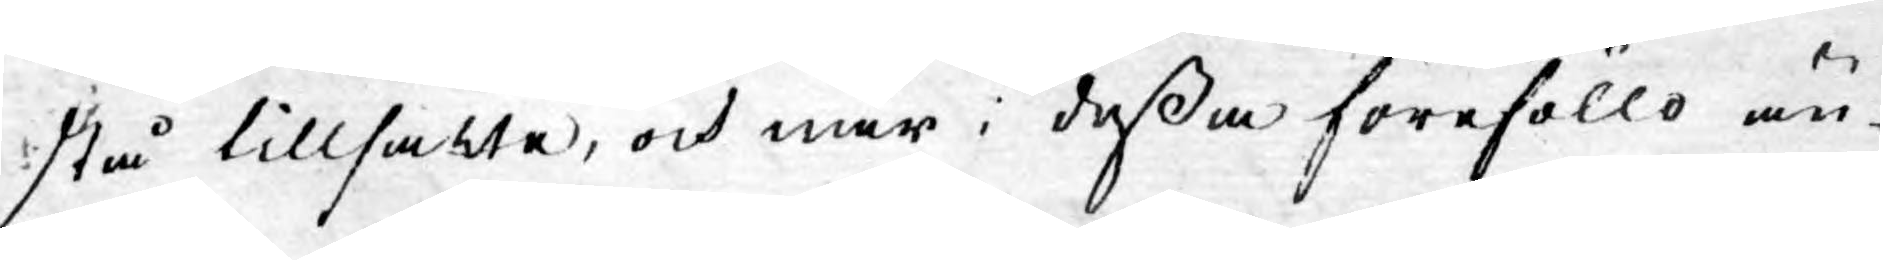stå tillsatte, och när i deßa föreföllo än¬
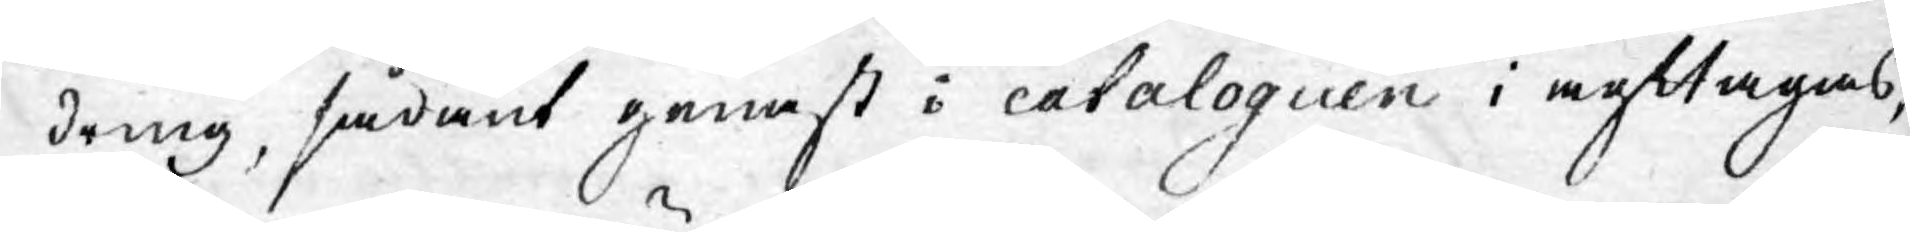dring, sådant genast i cataloguen iagttagas,
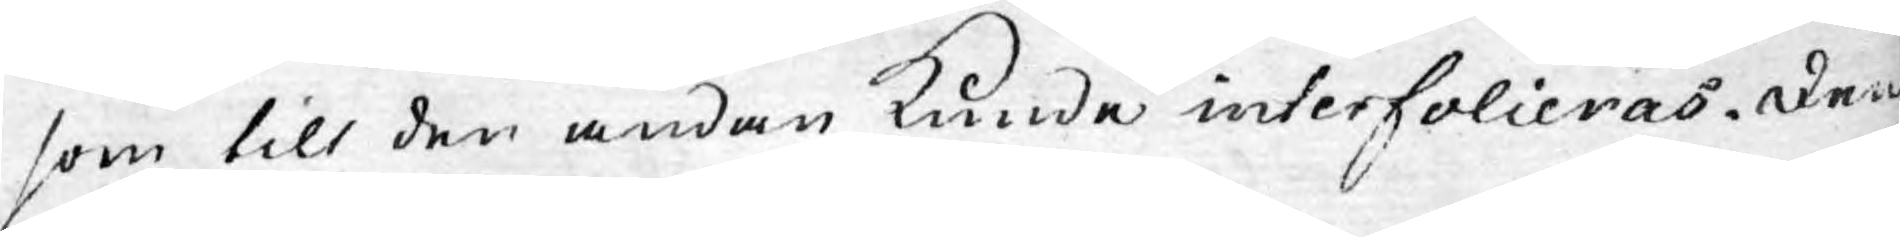som till den ändan kunde interfolieras. Den
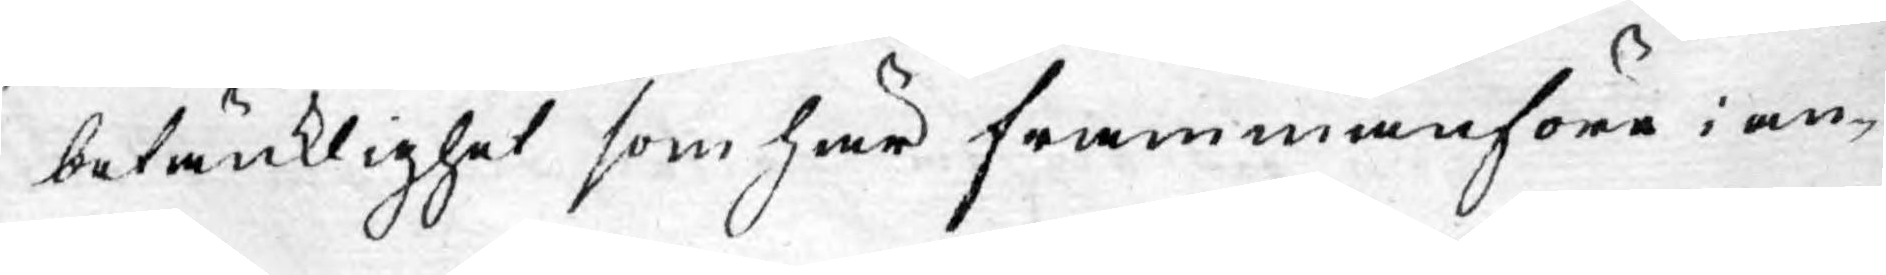betänklighet som här frammanföre i an¬
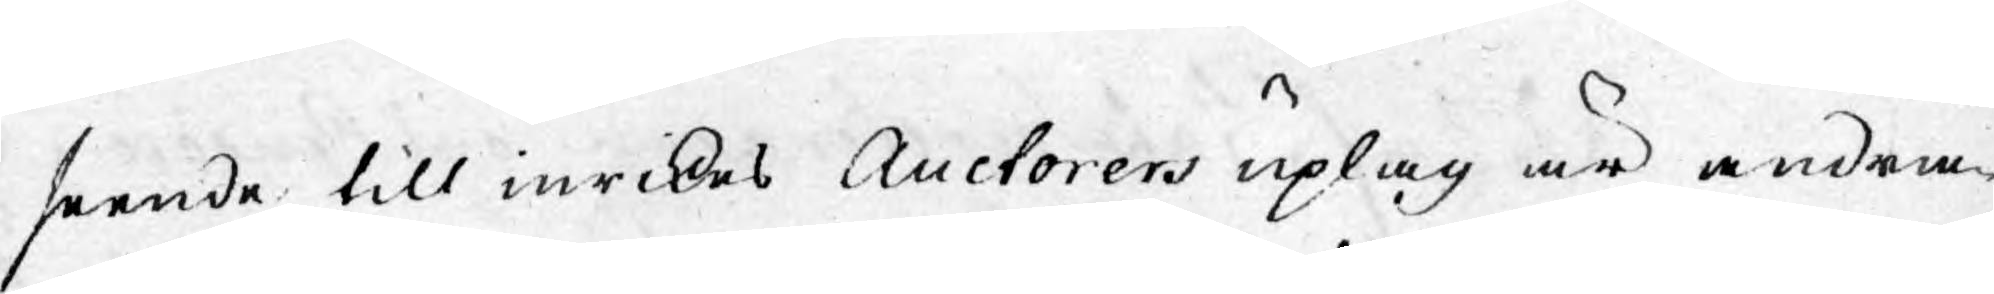seende till inrikes Auctorers uplag är andra¬
